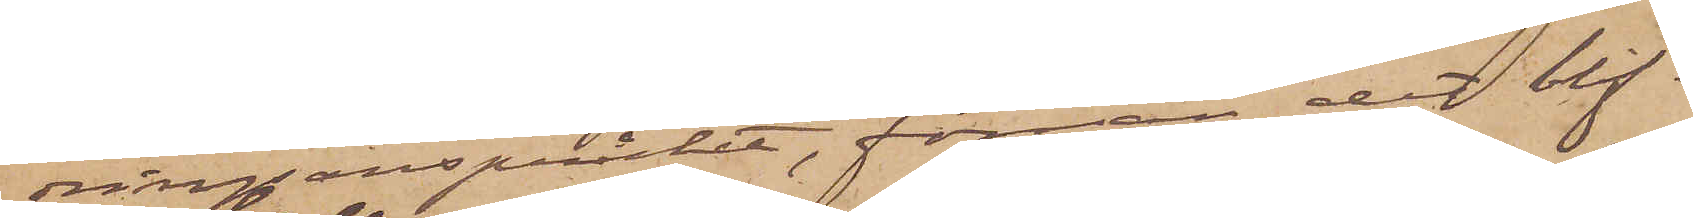dringanspråket, förrän det blif¬
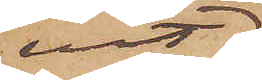vit
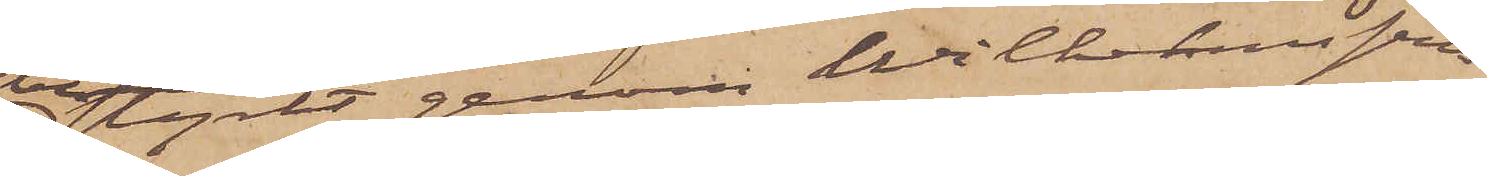bestyrkt genom Wilhelmssons
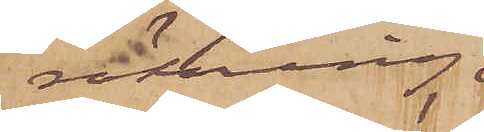räkning,
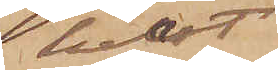helst
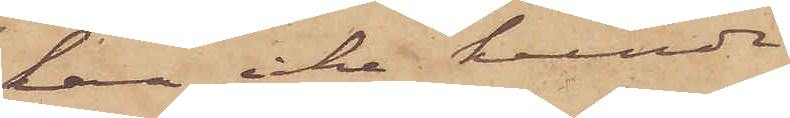han icke kunde
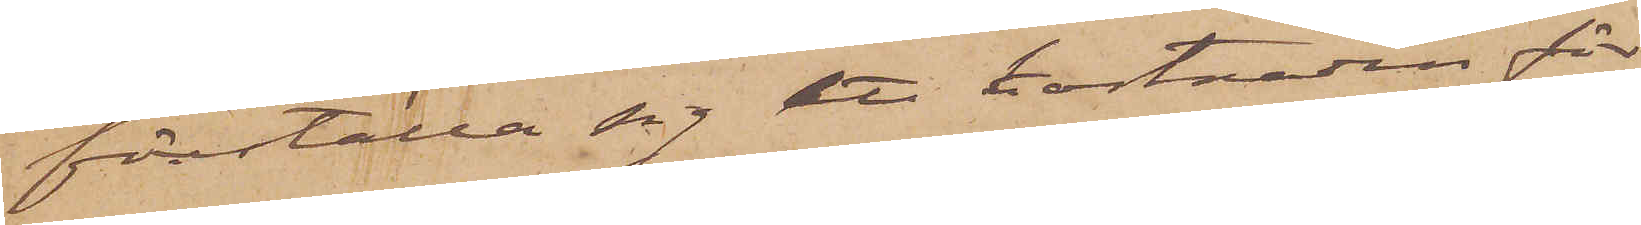föreställa sig att kostnaden för
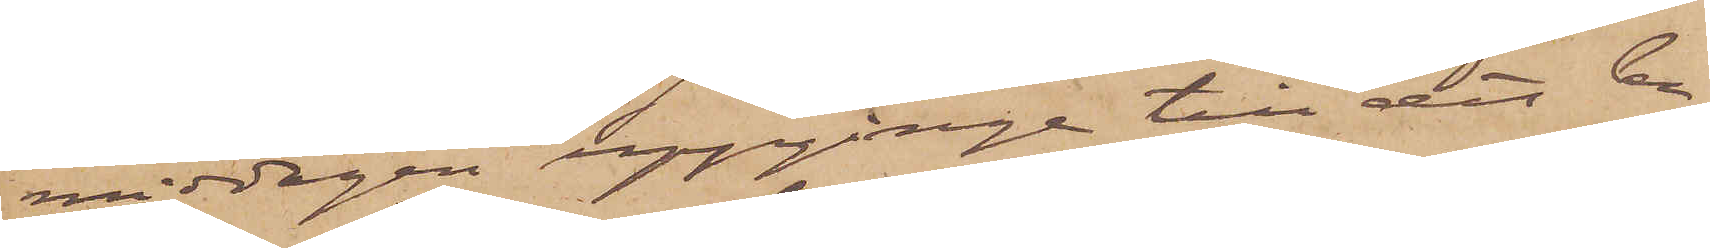middagen uppgånge till det be¬
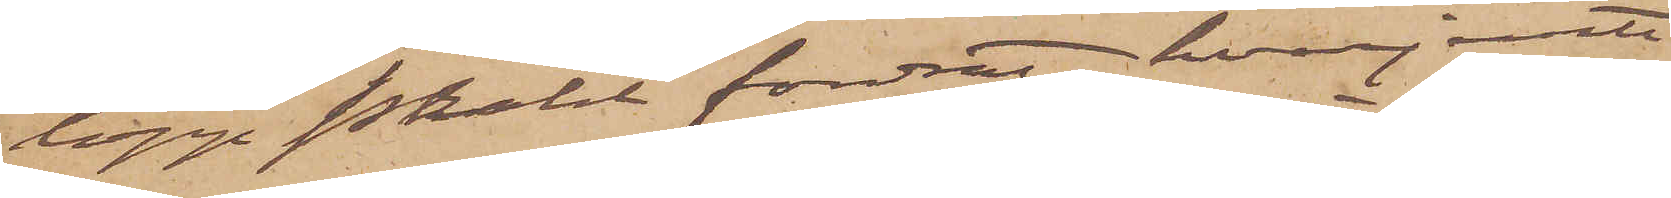lopp Prahl fordrat, hvarjemte
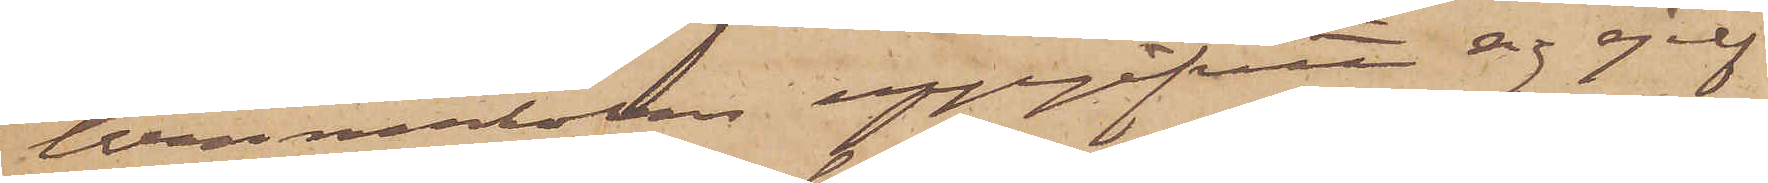Wennerholm uppgifvit sig sjelf
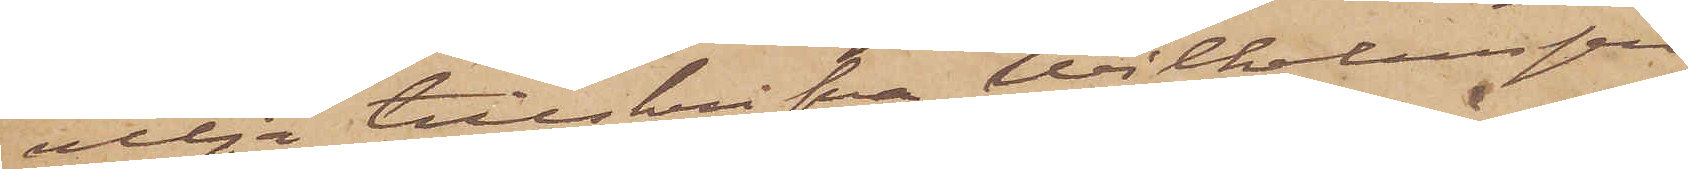vilja tillskrifva Wilhelmsson
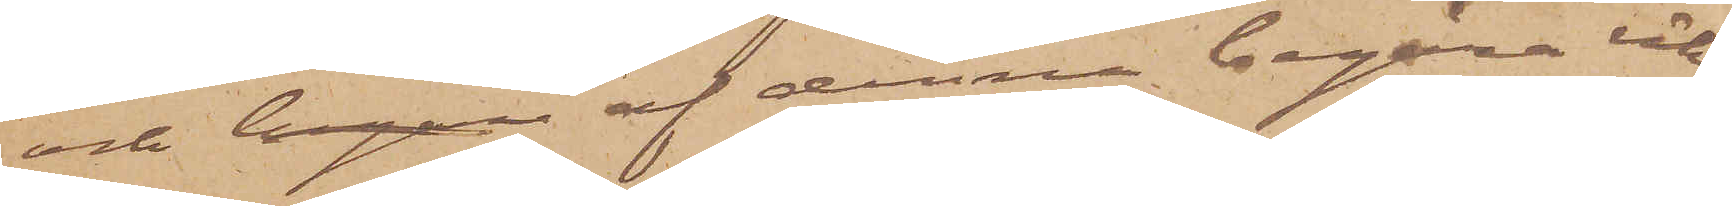och begar af denne begära räk¬
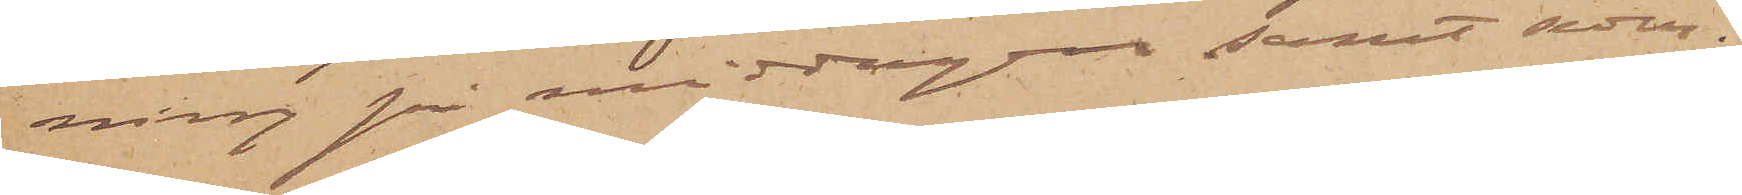ning på middagen samt seder¬
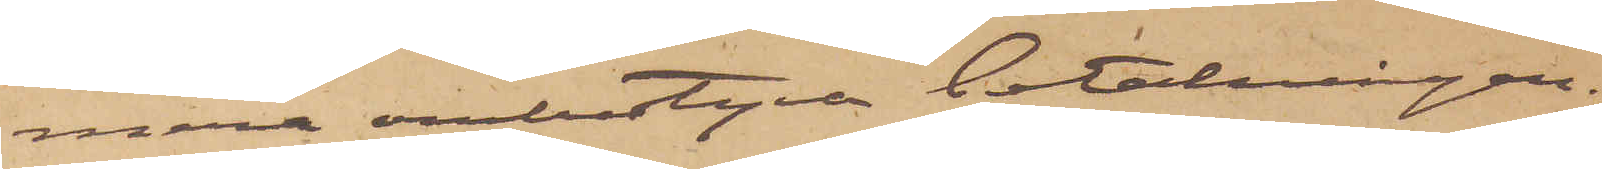mera ombestyra betalningen.
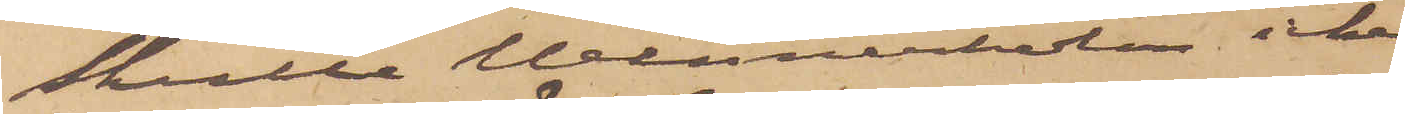Skulle Wennerholm icke
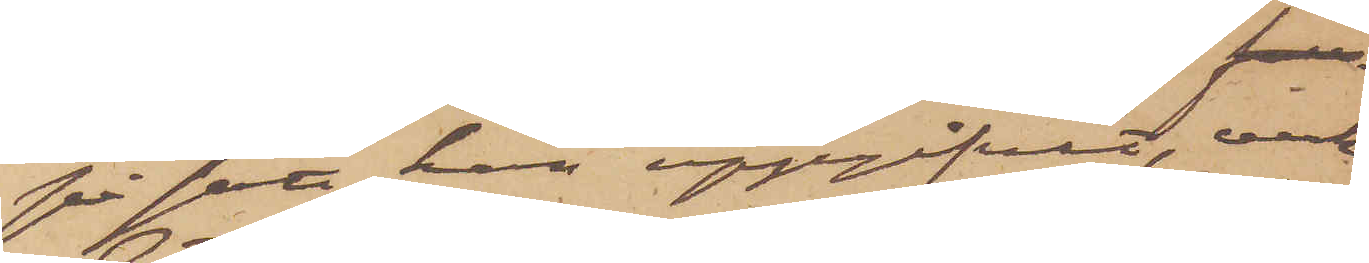på sätt han uppgifvit, verk¬
